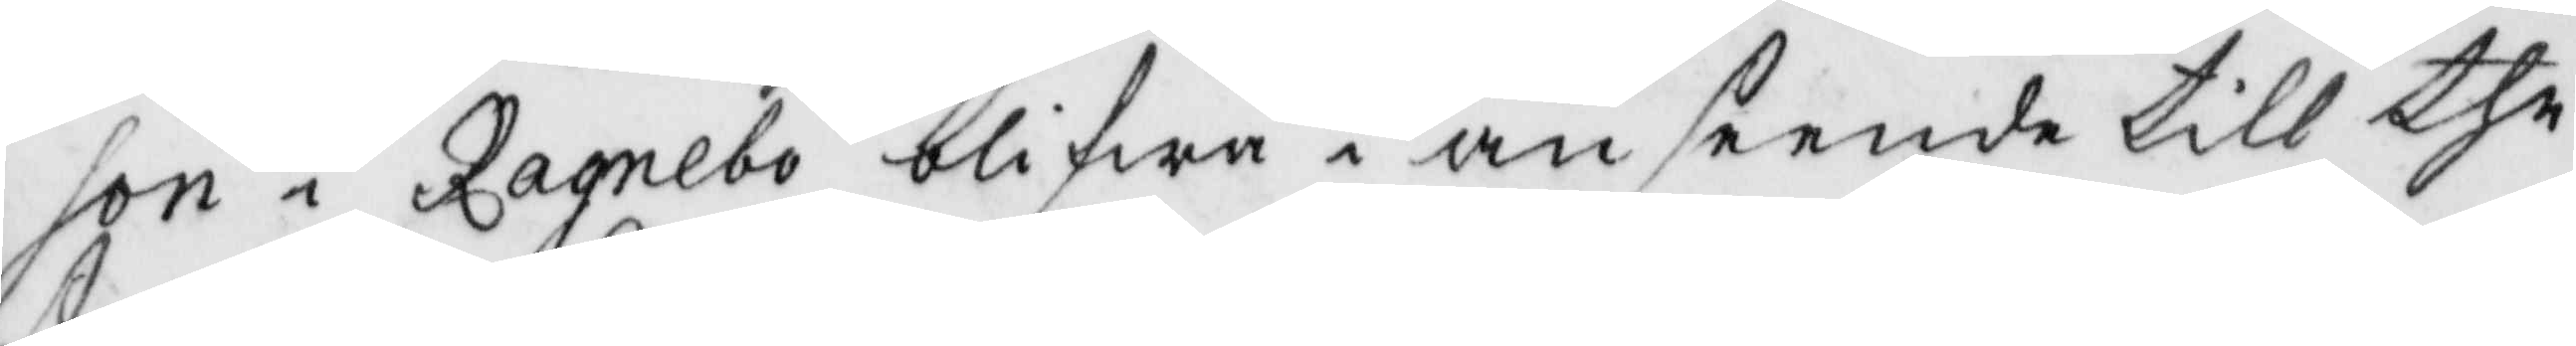son i Ragnela blifwa i anseende till the
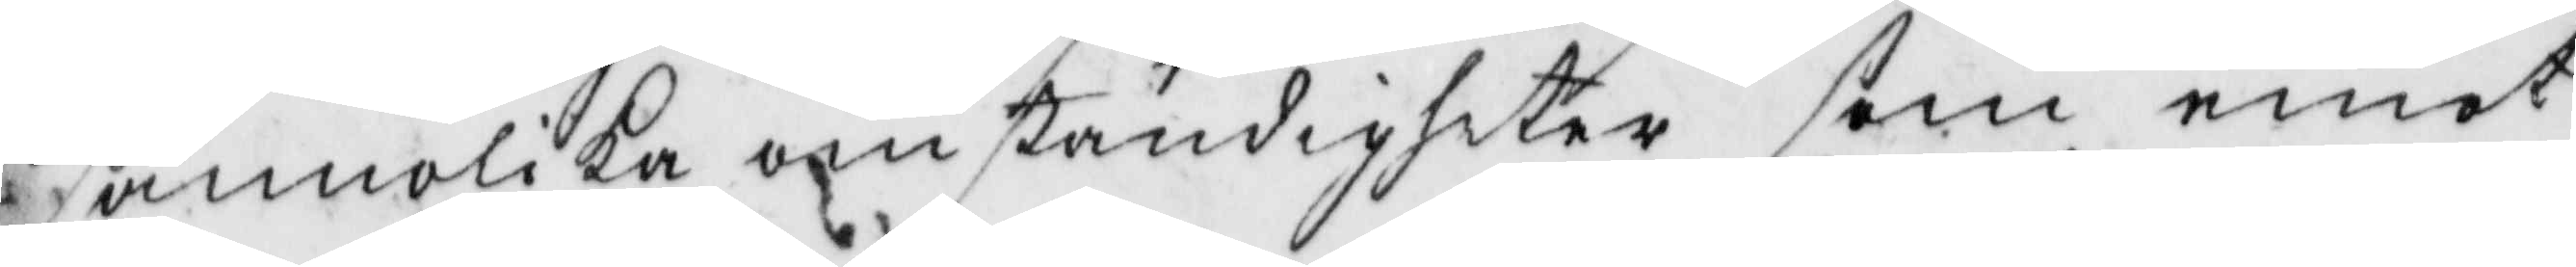sanniloka omständigheter som emot
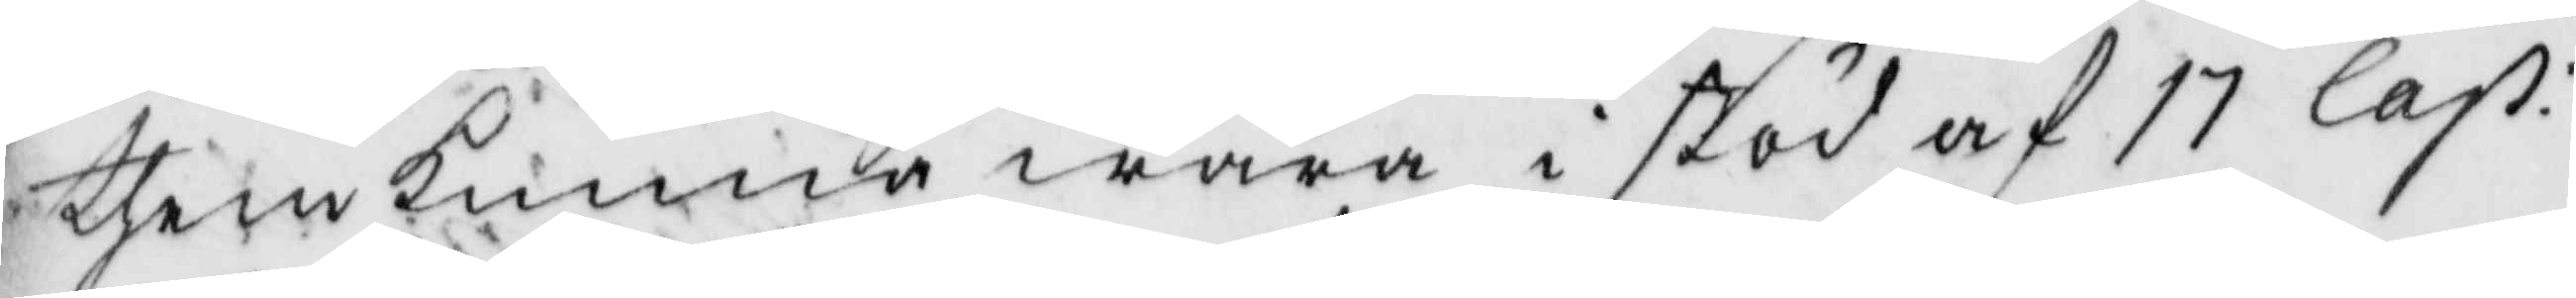them kunna wara i stöd af 17 Cap:
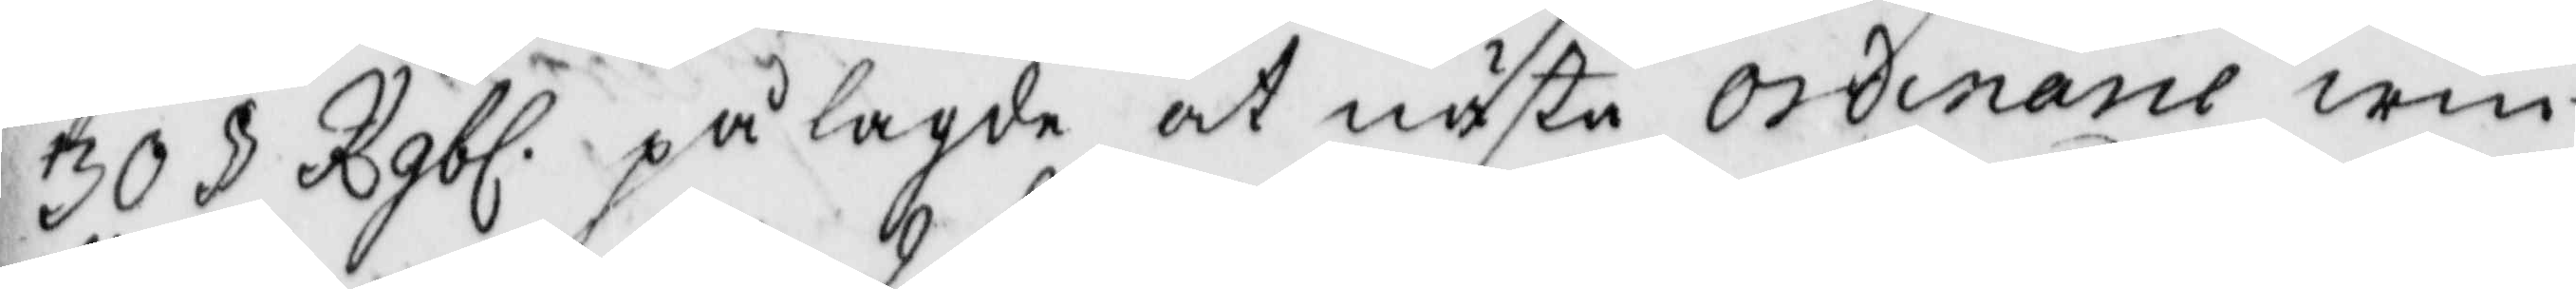30 § Rgbl. pålagde at nästa ordinarie win¬
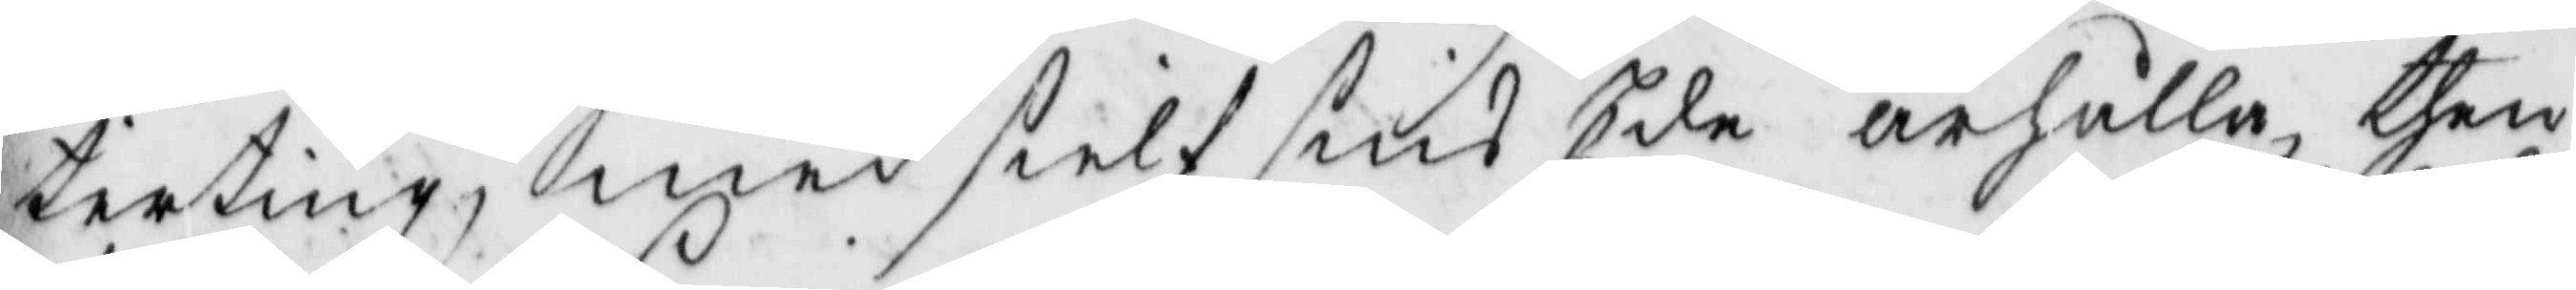terting, med sielf sins Ede ärhålla then
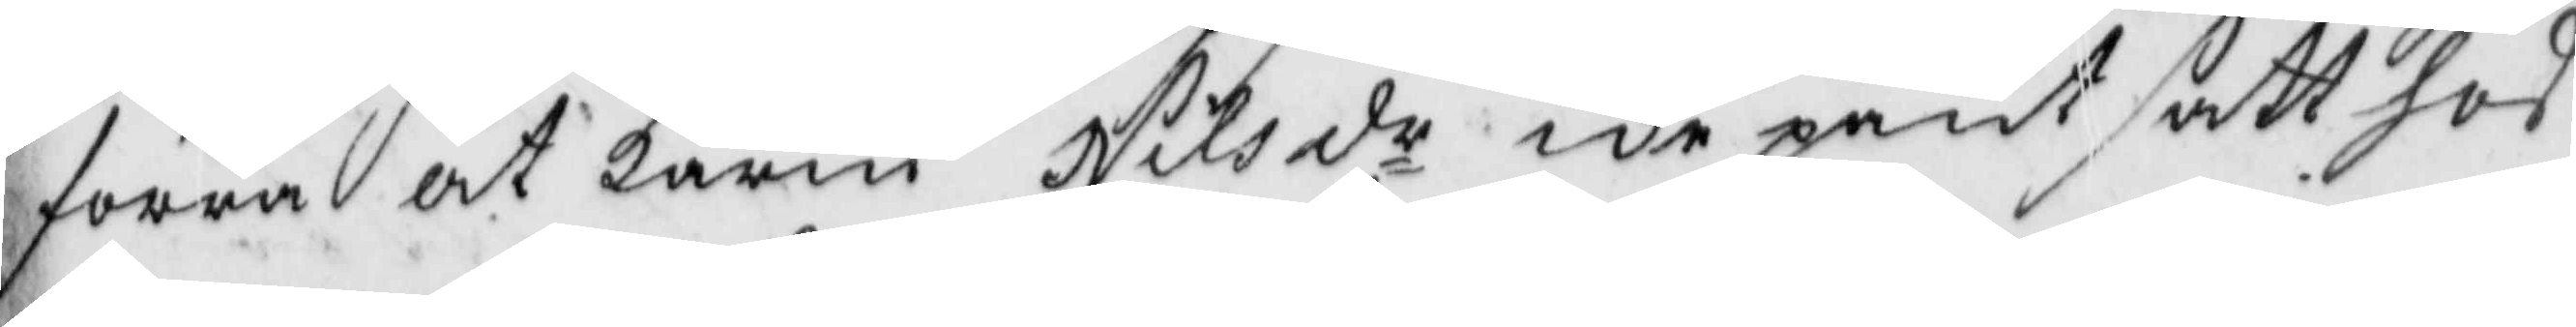förra at Karin Nilsdr icke pant satt hos
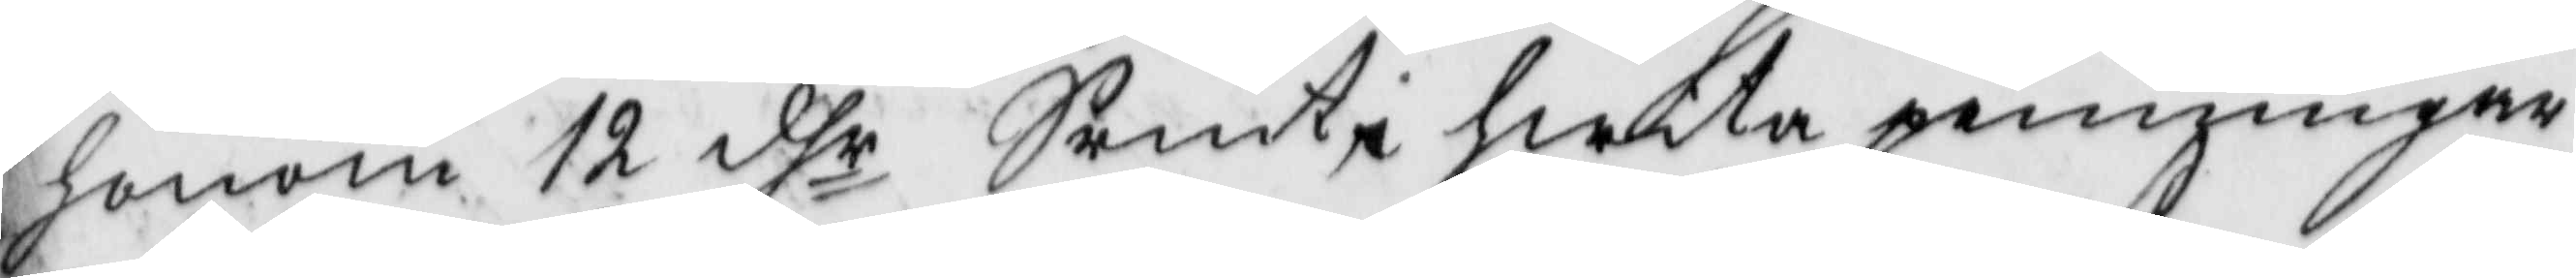honom 12 dhr Srmt, hwita penningar
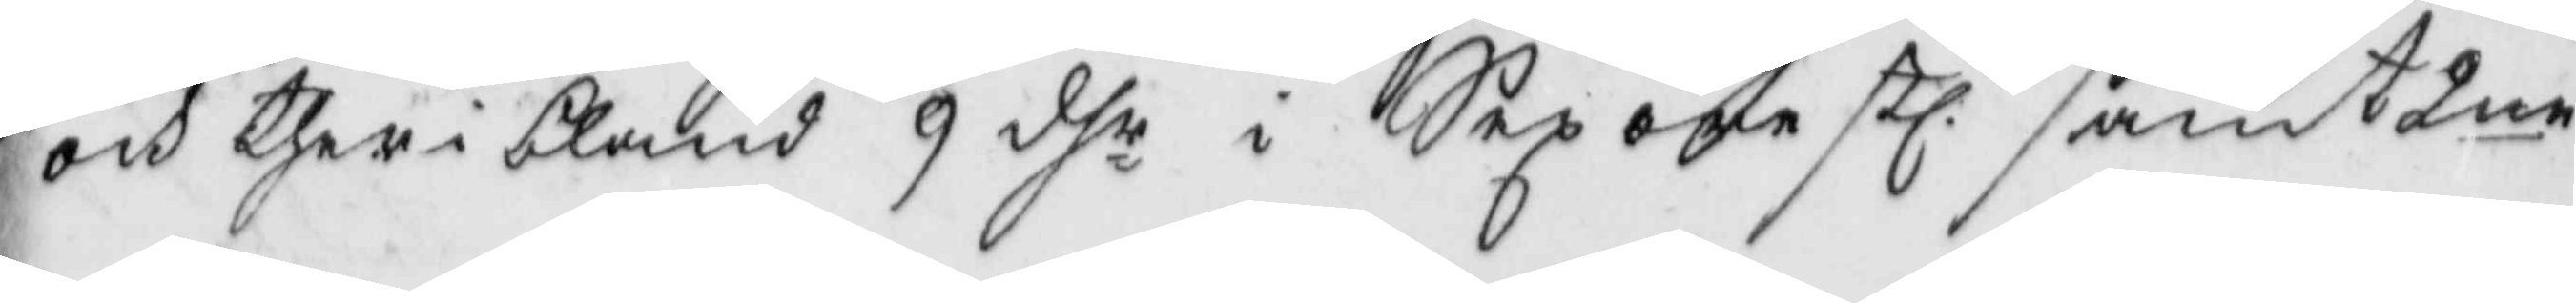och ther i bland 9 dhr i Sex öre stl. samt 2ne
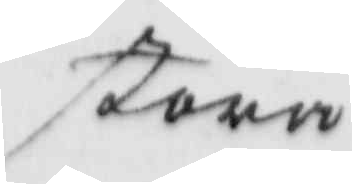stora
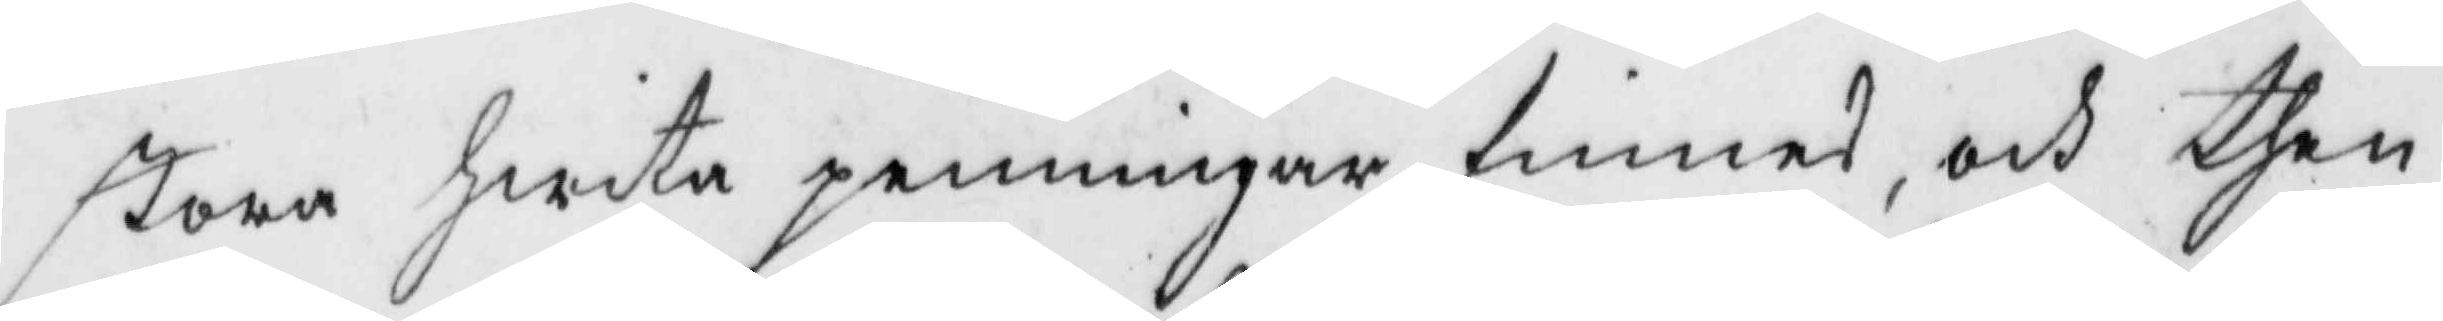stora hwita penningar finnes, och then
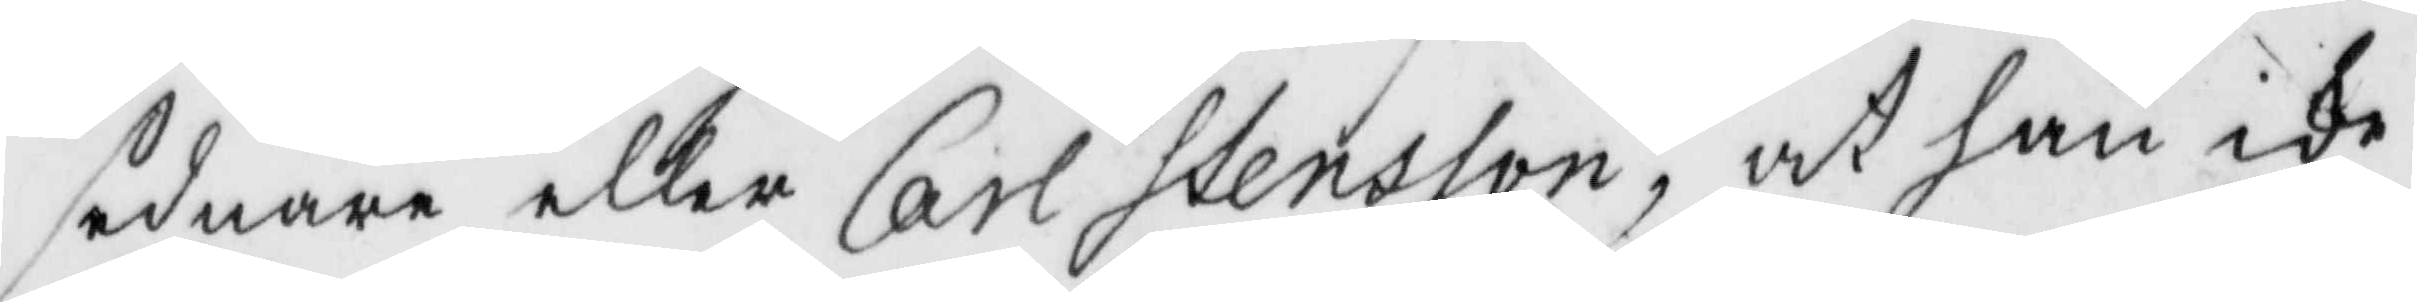sednare eller Carl Stensson, at han icke
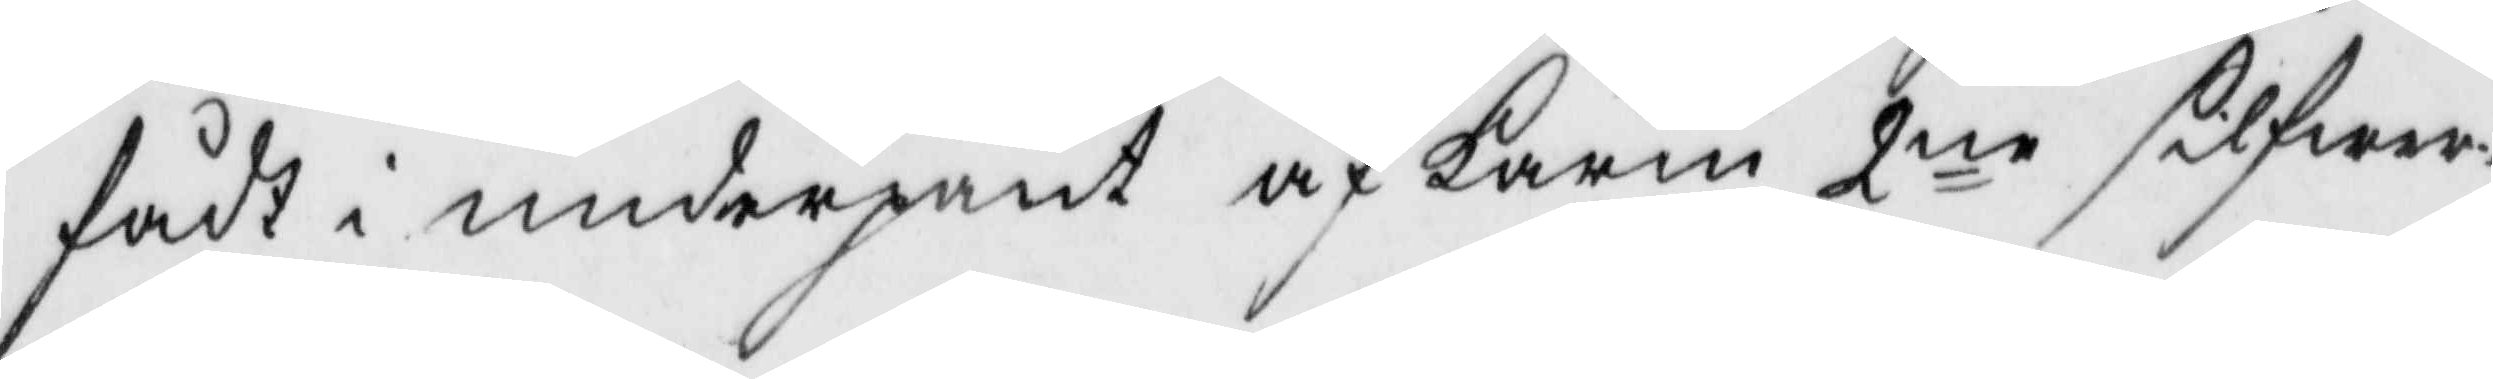fådt i underpant af Karin 2ne silfwer¬
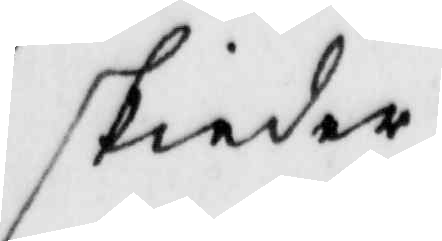skiedar
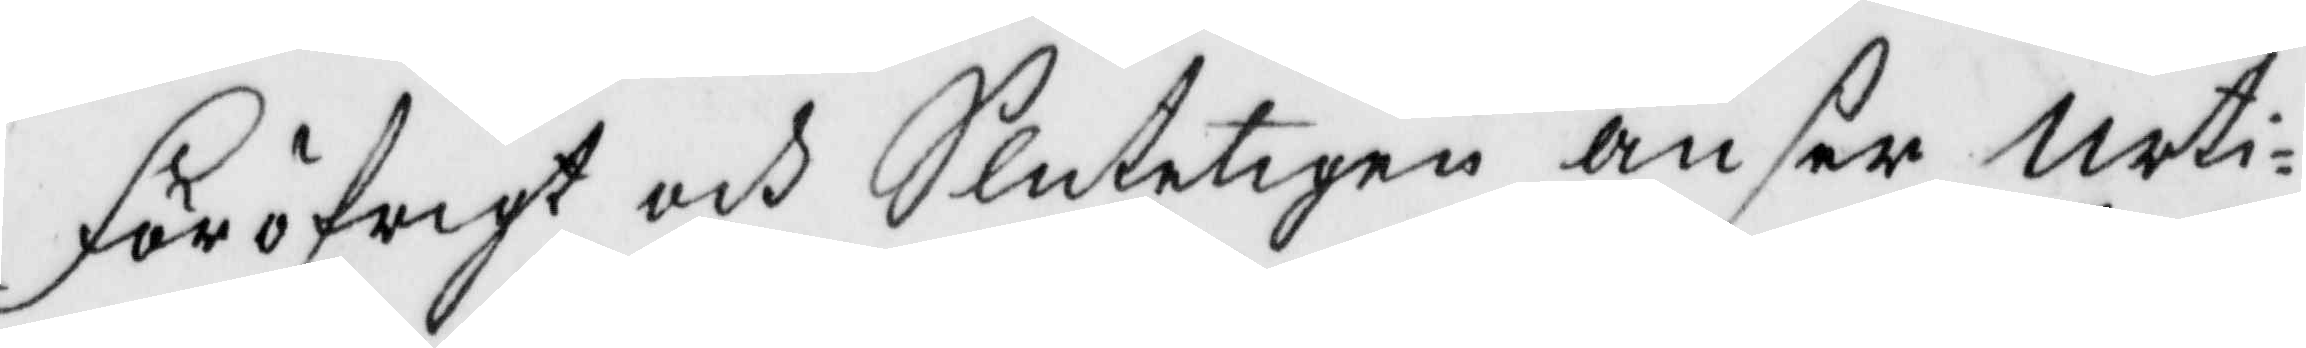Föröfrigt och Sluteligen anser Urti¬
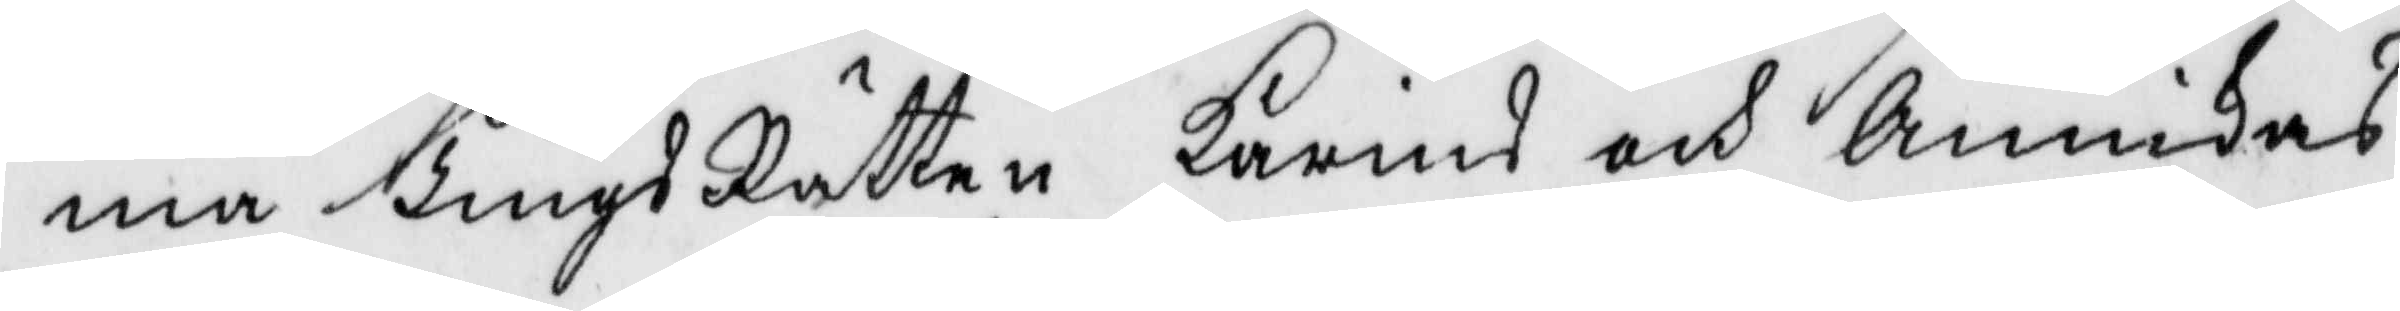ma TingsRätten Karins och Annikas
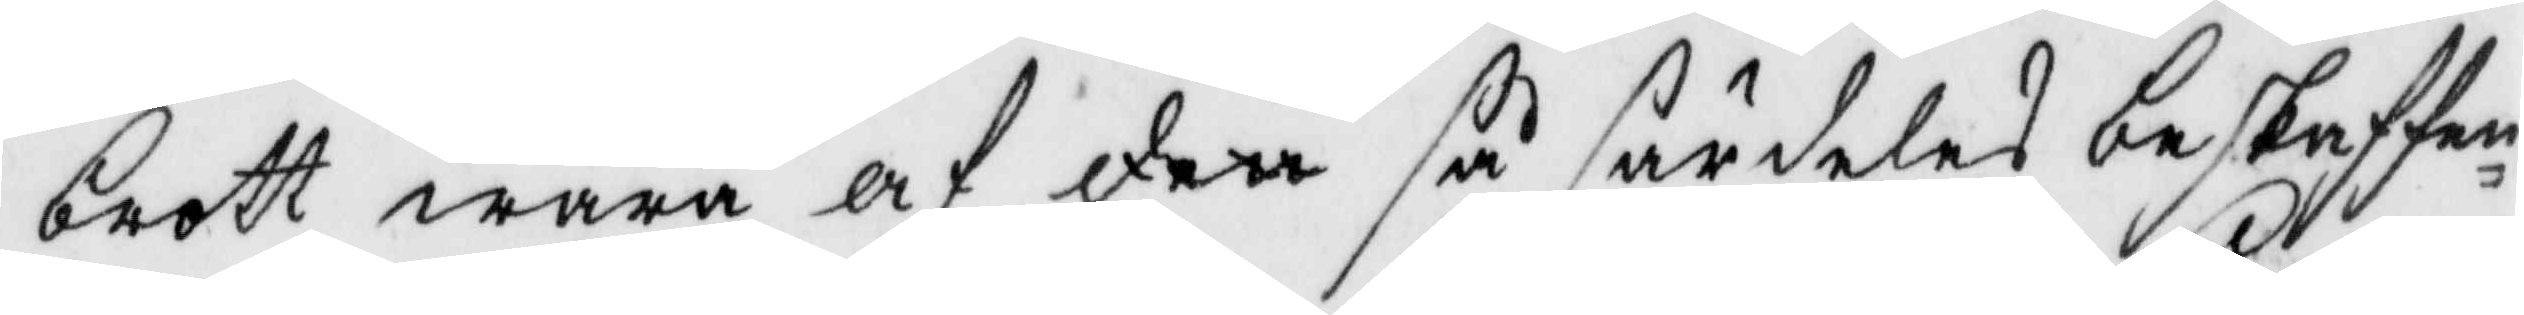brott wara af den så särdeles beskaffen¬
